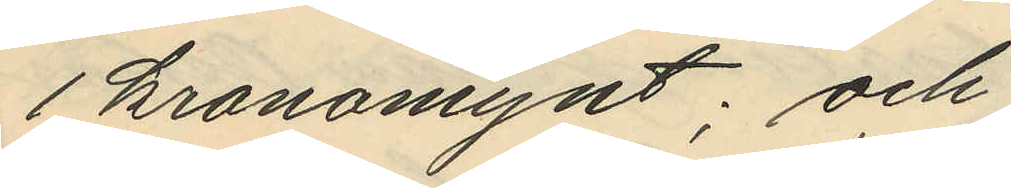1 kronomynt; och
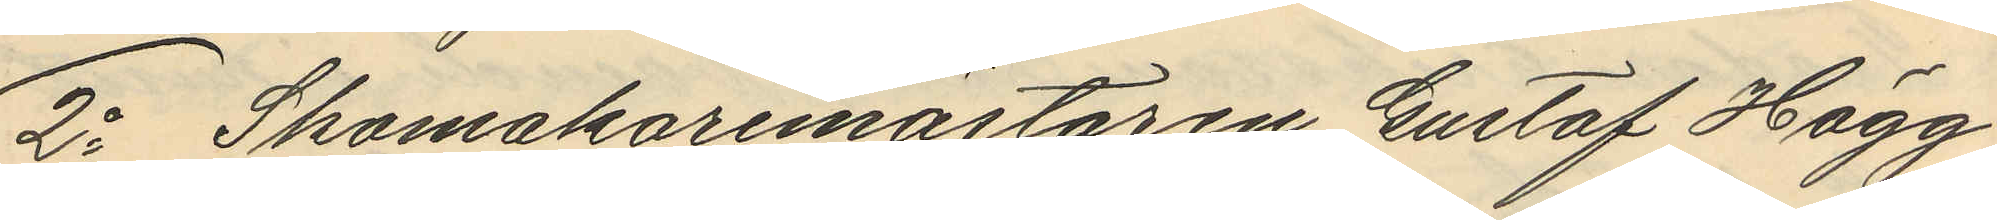2o Skomakaremästaren Gustaf Hägg
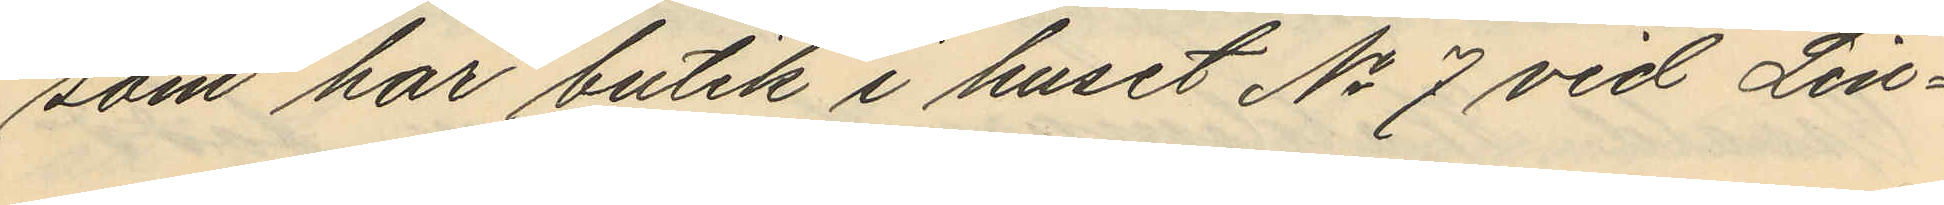som har butik i huset No 7 vid Lin¬
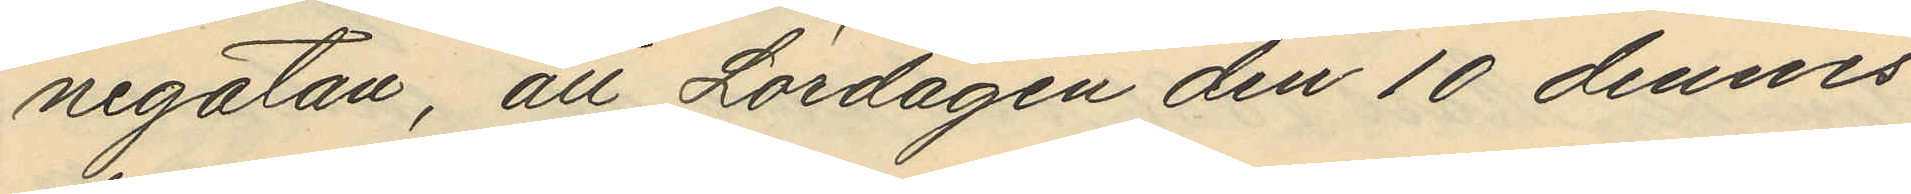negatan, att Lördagen den 10 dennes
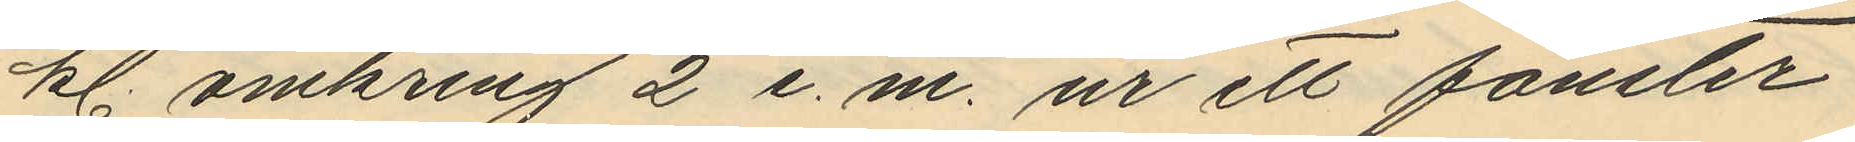kl. omkring 2 e. m. ur ett fönster
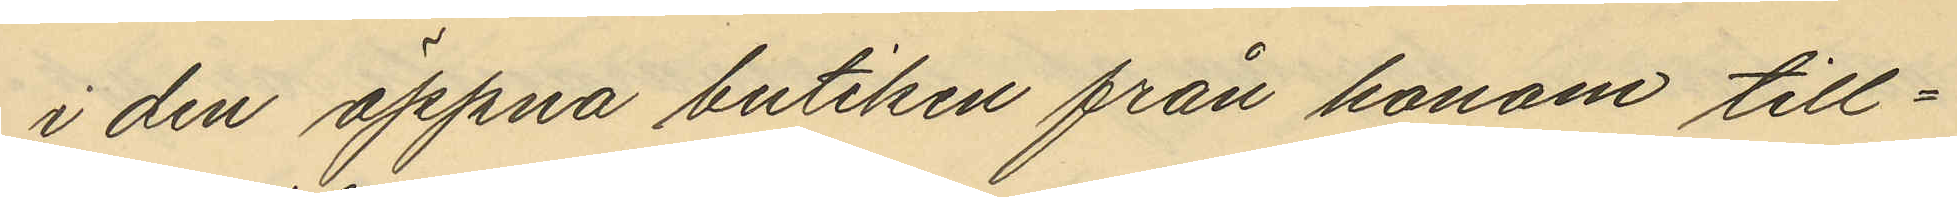i den öppna butiken från honom till¬
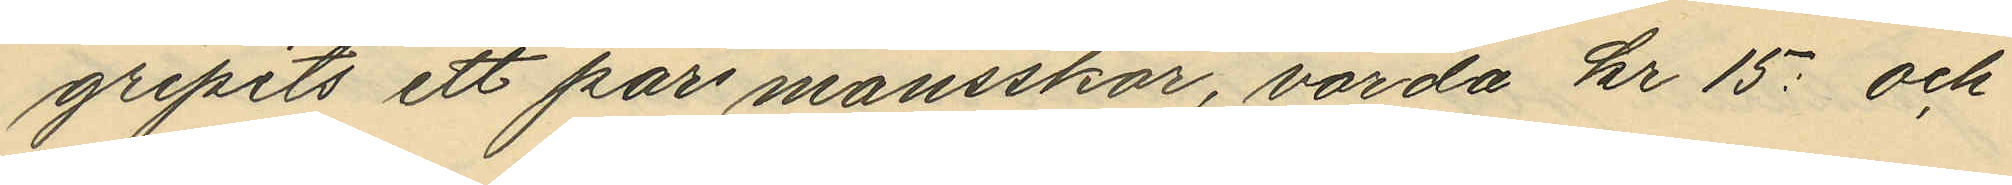gripits ett par mansskor, värda kr 15: och
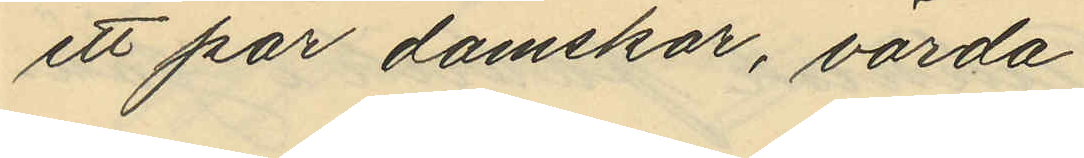ett par damskor, värda
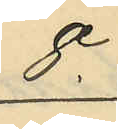8
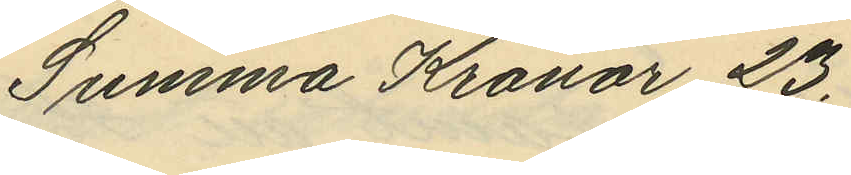Summa Kronor 23.
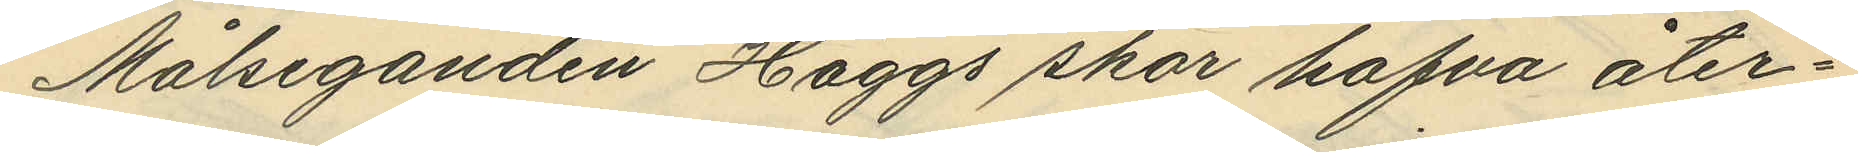Målseganden Häggs skor hafva åter¬
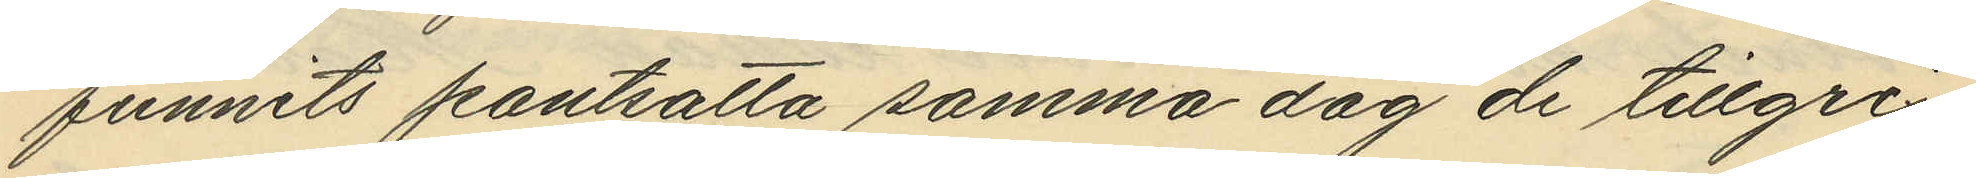funnits pantsatta samma dag de tillgri¬
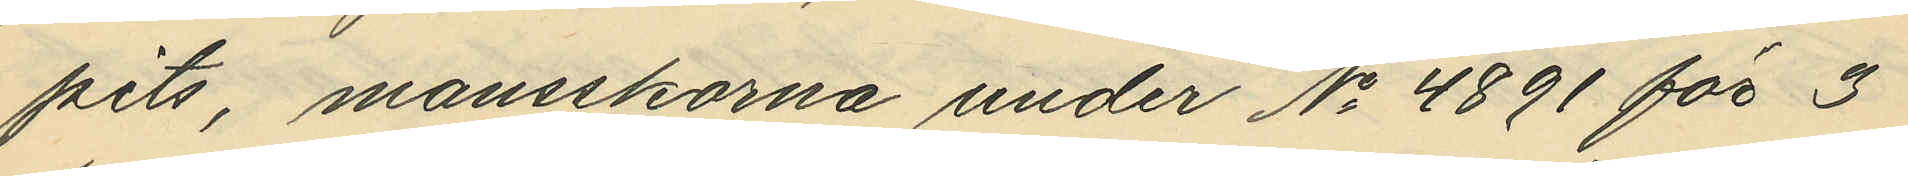pits, mansskorna under No 4891 för 3
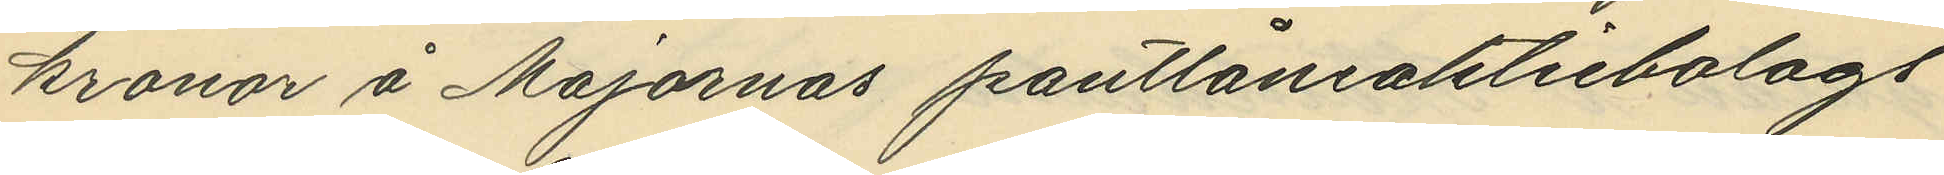kronor å Majornas pantlåneaktiebolags
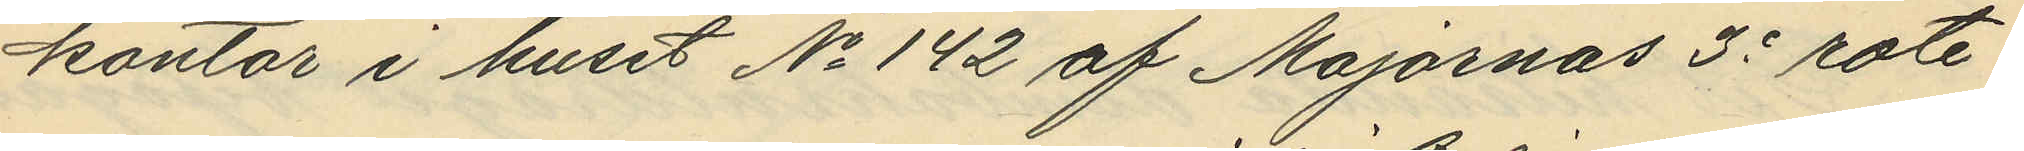kontor i huset No 142 af Majornas 3e rote
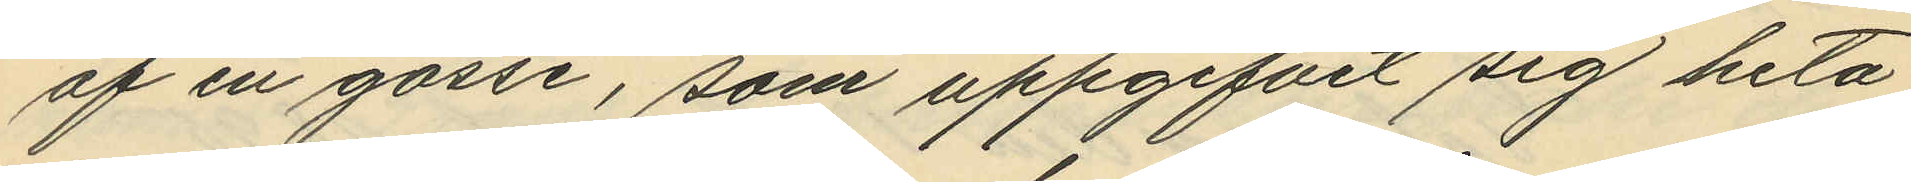af en gosse, som uppgifvit sig heta
